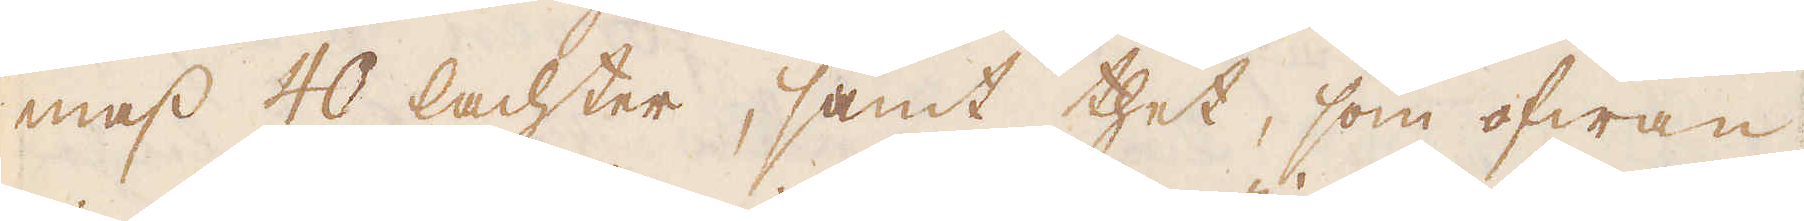mass 40 lachter, samt thet, som ofwan
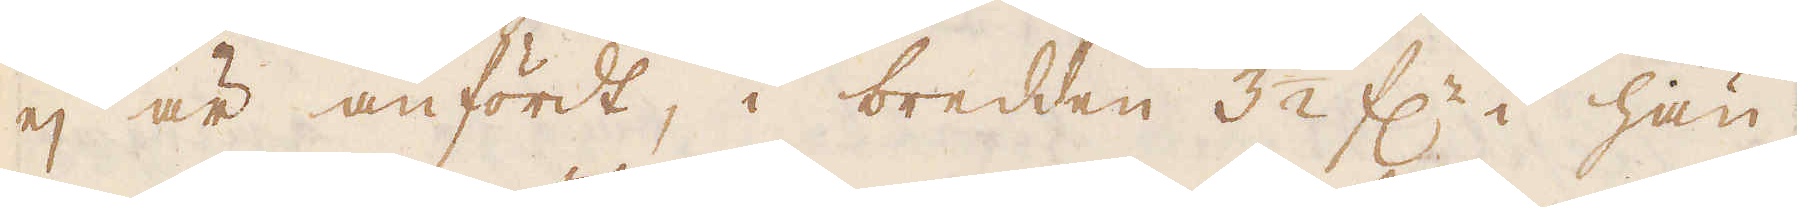ej är anfördt, i bredden 3 1/2 f:r i hän-
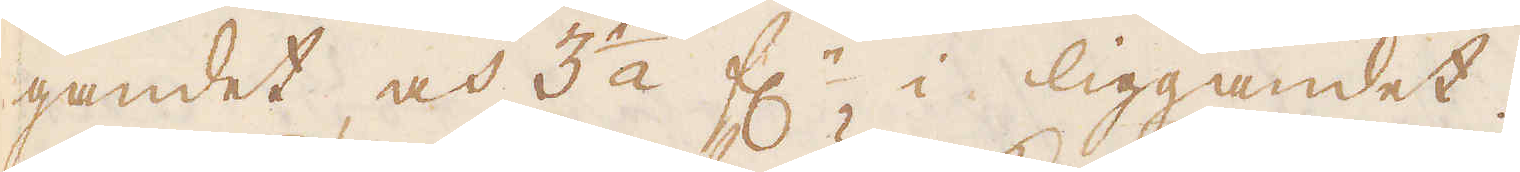gandet och 3 1/2 f:r i liggandet.
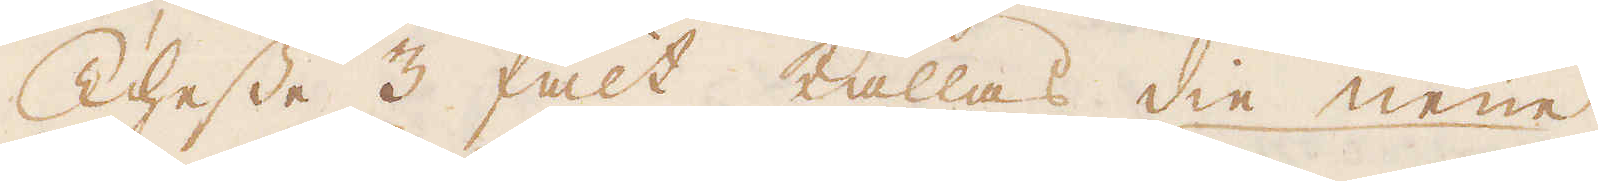Thesse 3 fält kallas die neüe
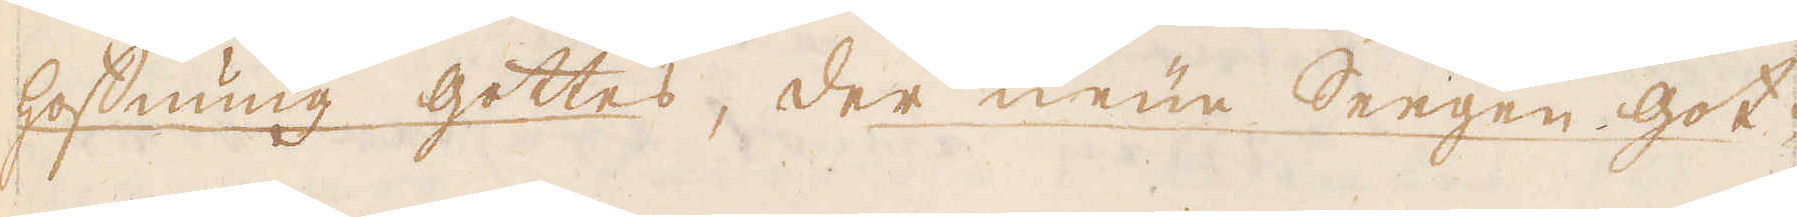hoffnung gittes, der neüe Seegen got-
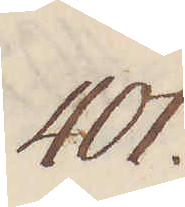401.
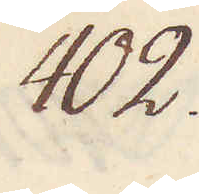402.
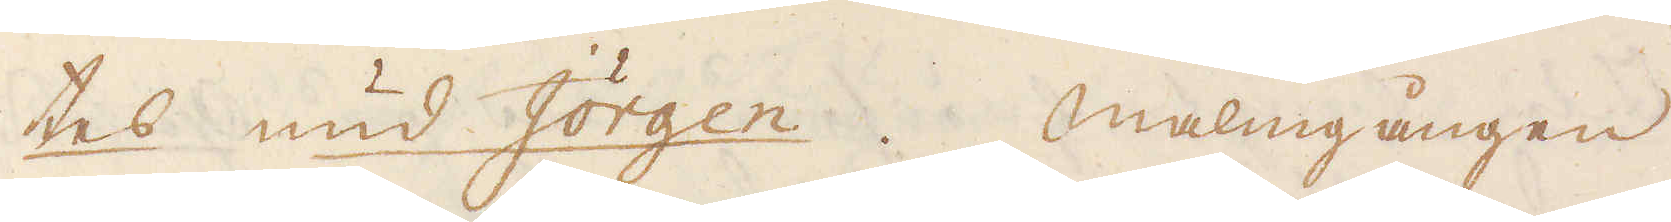tes nud Jörgen. Malmgången
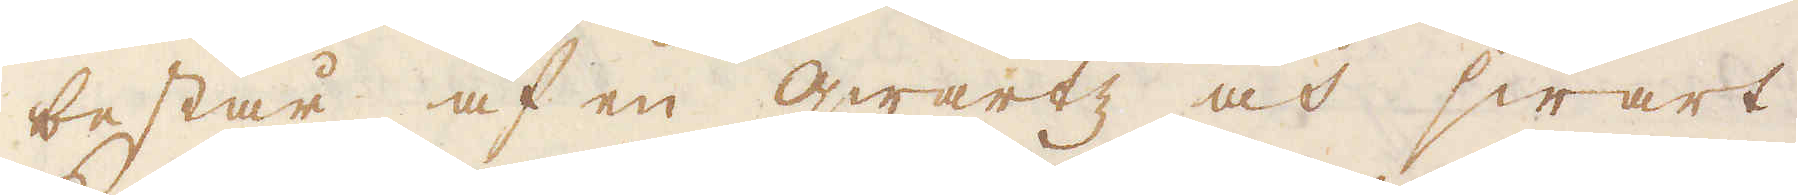består af en qwartz och swart
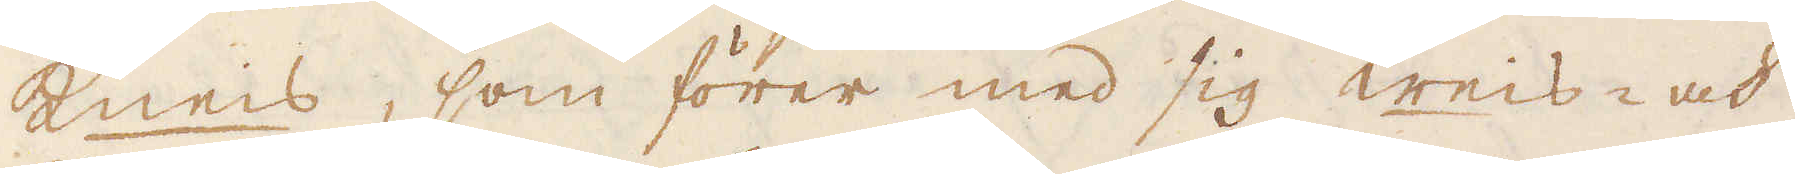kneis, som förer med sig weis- och
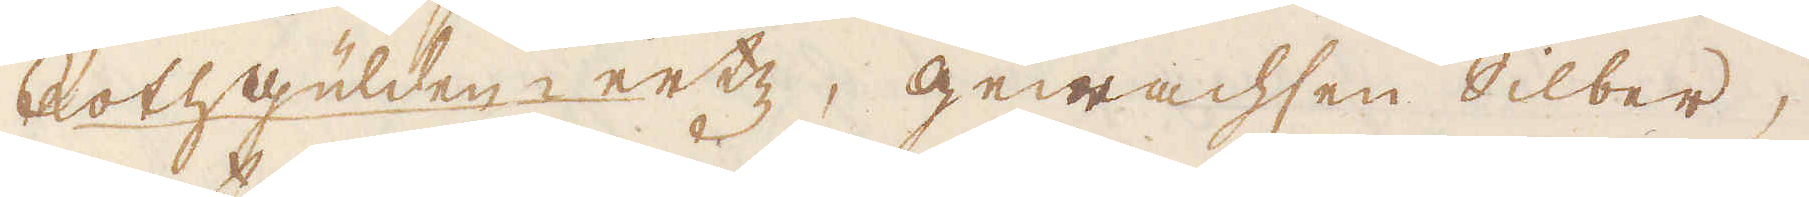Rothgülden ertz, gewachsen silber,
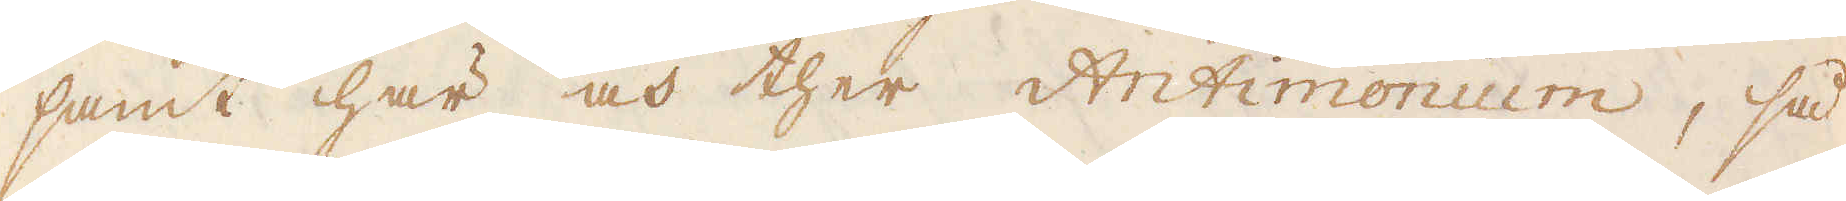samt här och ther Antimonium, så
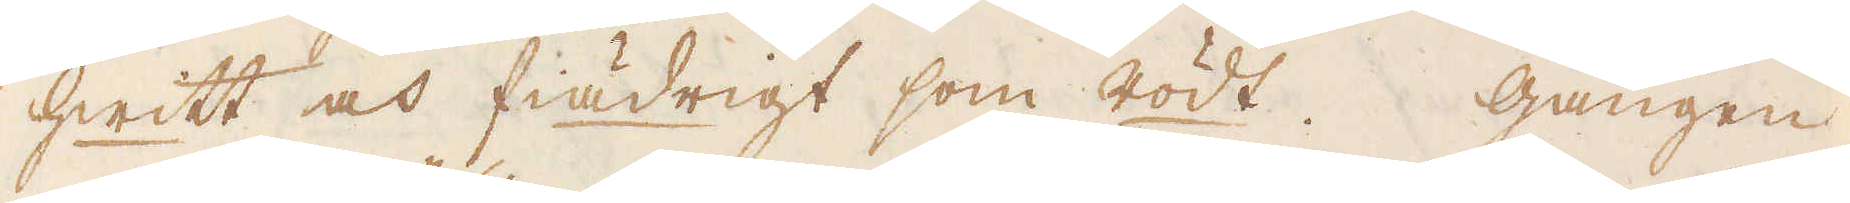hwitt och fiädrigt som rödt. Gången
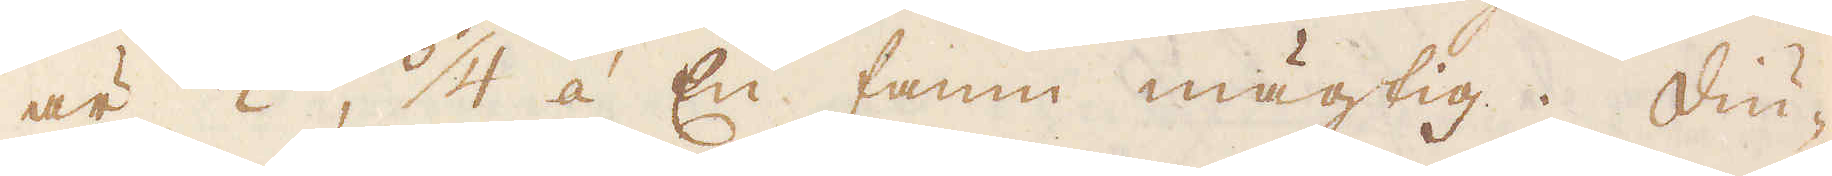är 1/2, 3/4 á En famn mägtig. Diu-
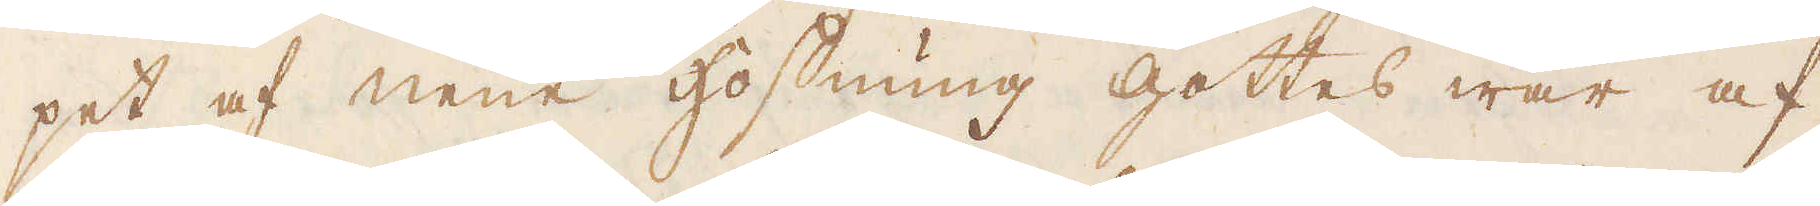pet af neüe Hoffnung gottes war af
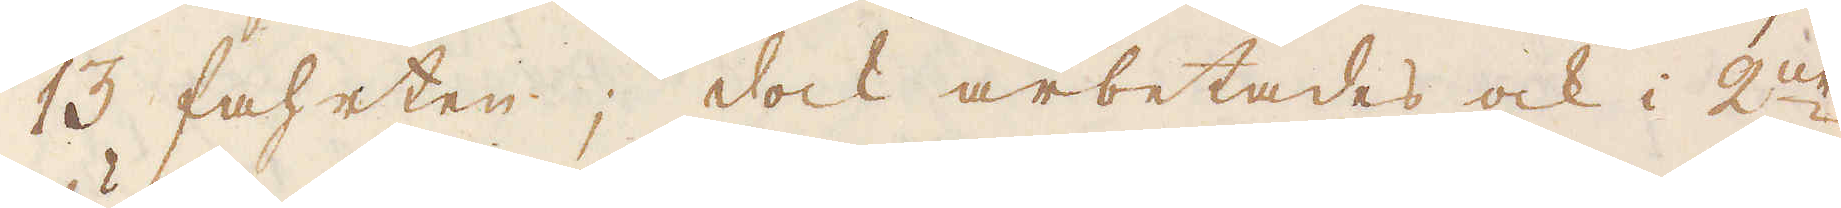13 fahrten; dock arbetades ock i 2ne
